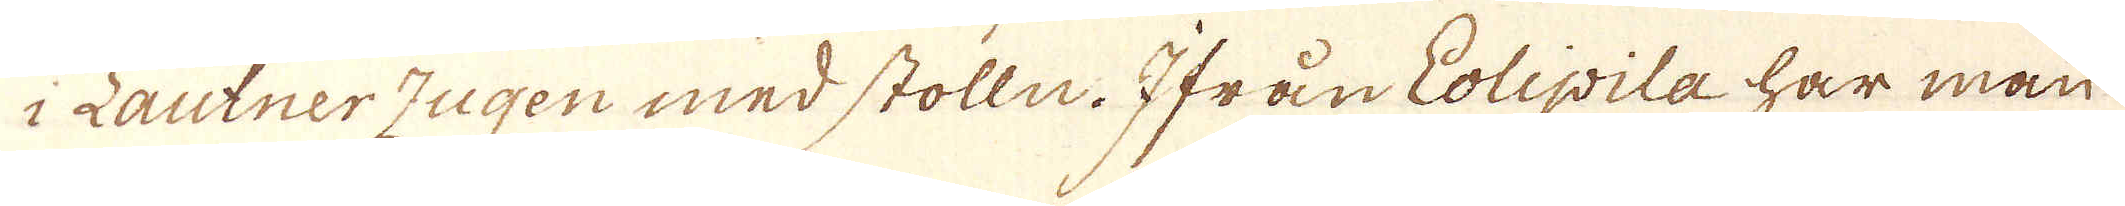i Lautner Zugen med stolln. Ifrån Eolipila har man
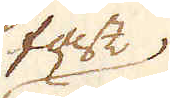fast.
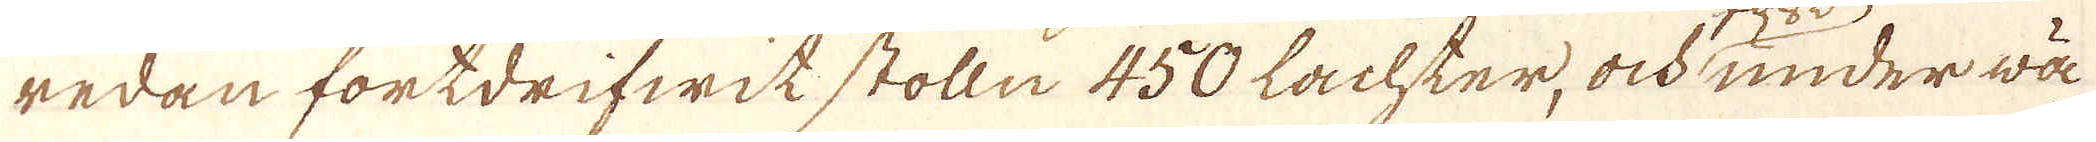redan fortdrifwit stolln 450 lachter, och under wä-
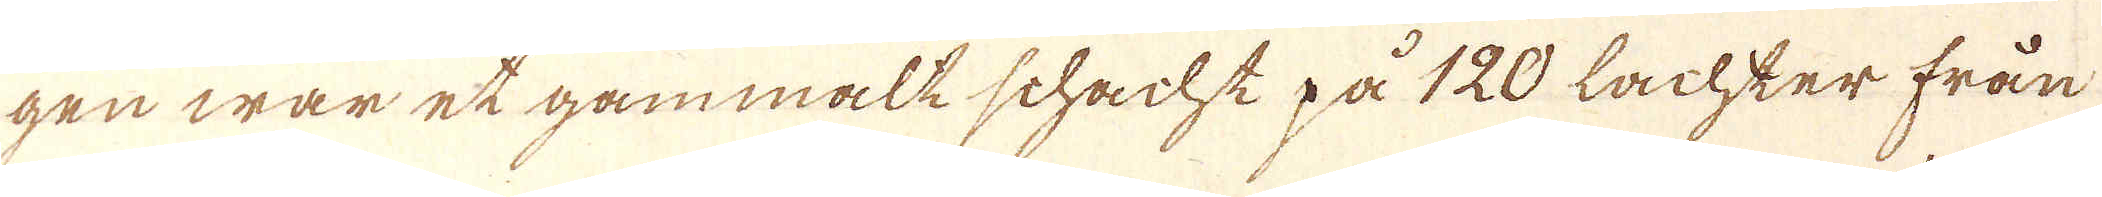gen war et gammält schacht på 120 lachker från
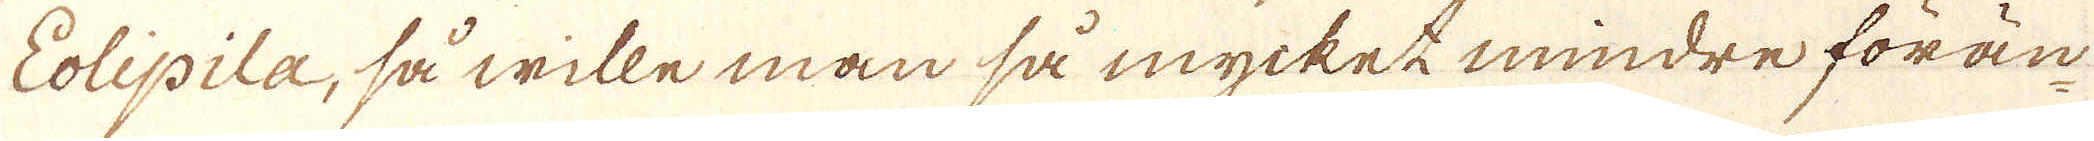Eolipila, så wille man så mycket mindre förän-
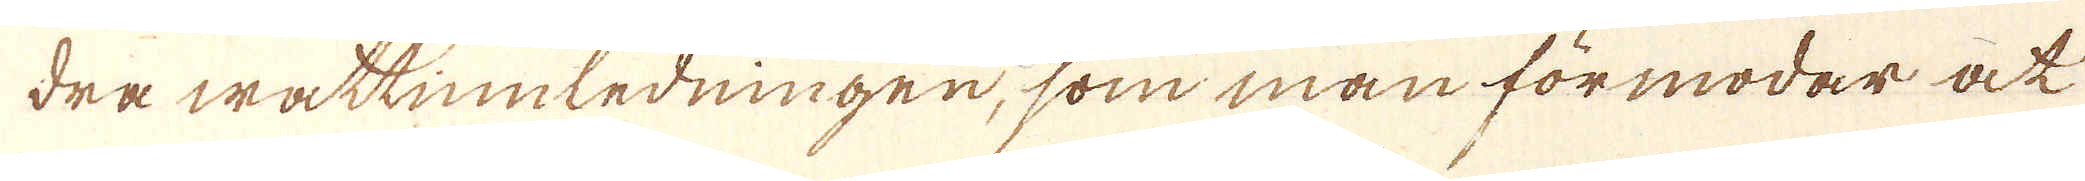dra wattinnledningen, som man förmodar at
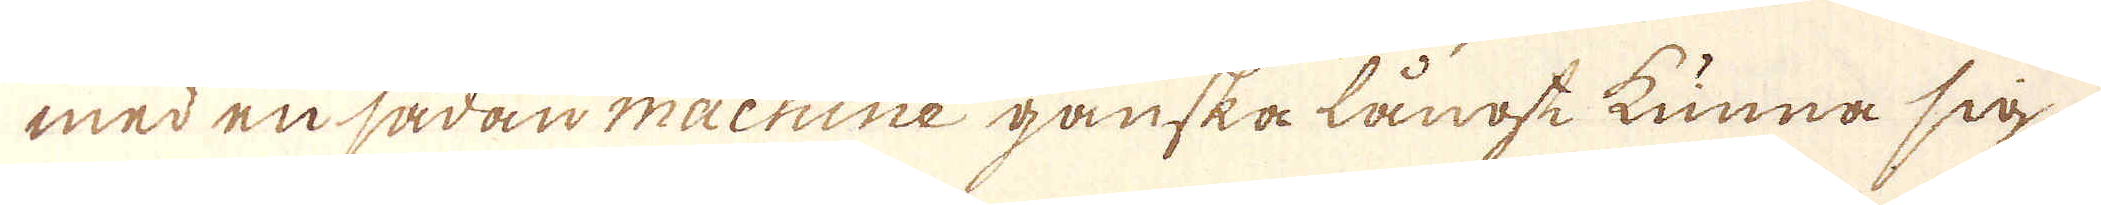med en sådan machine ganska långse kunna sig
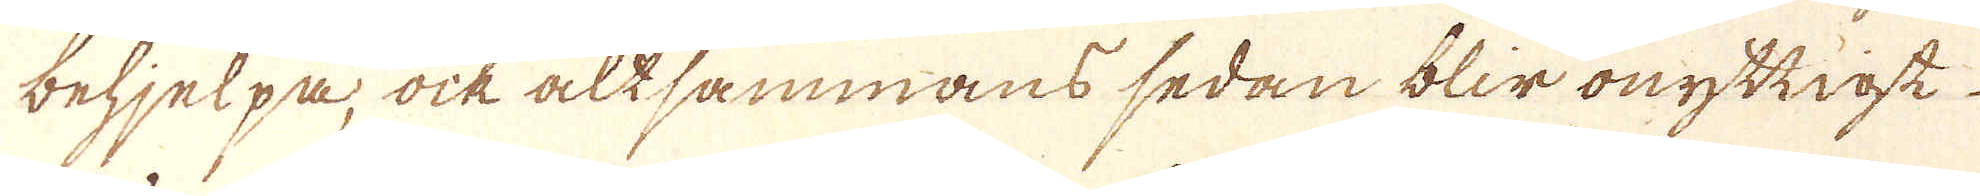behjelpa, ock altsammans sedan blir onyttigt
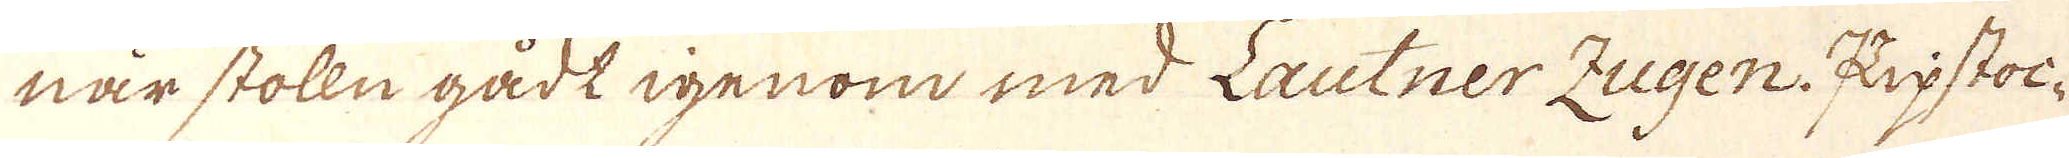när stolln gådt igenom med Lautner Zugen Kupstoc-
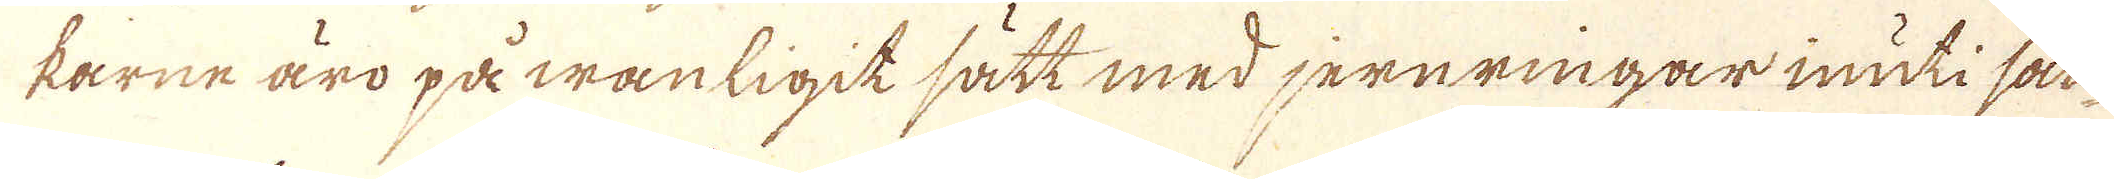karne äro på wanligit sätt med jernringar inuti sam-
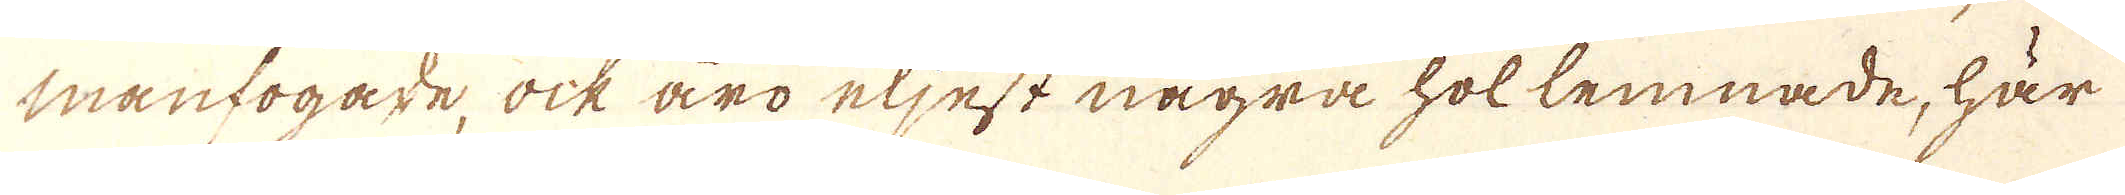manfogade, ock äro eljest några hol lemnade, här
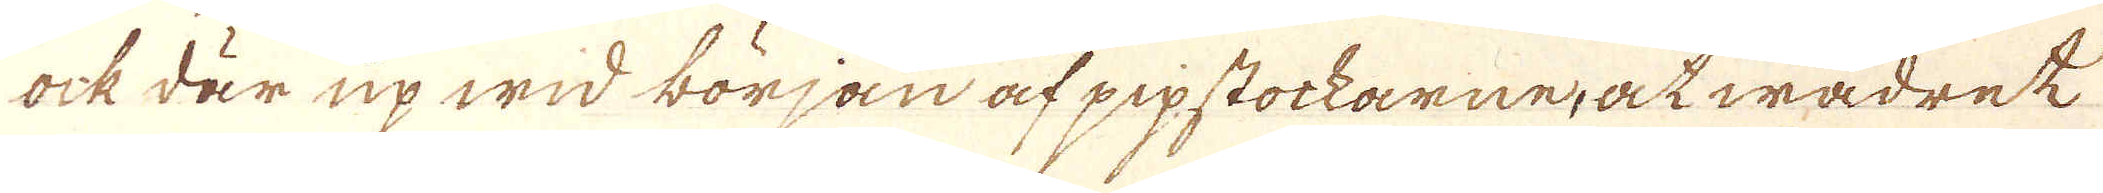ock där up wid början af pipstockarne, at wädret
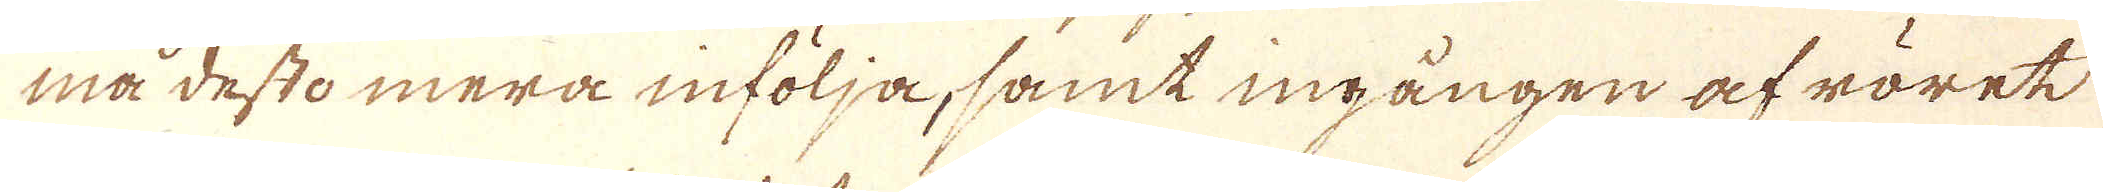må desto mera infölja, samt ingången af röret
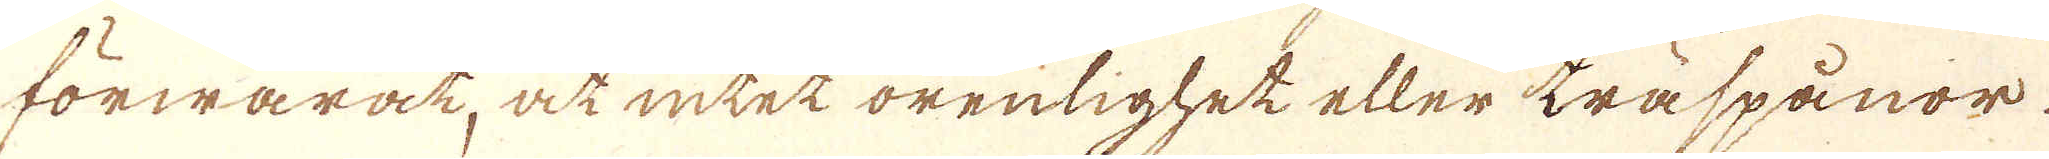förwarat, at intet orenlighet eller träspånor
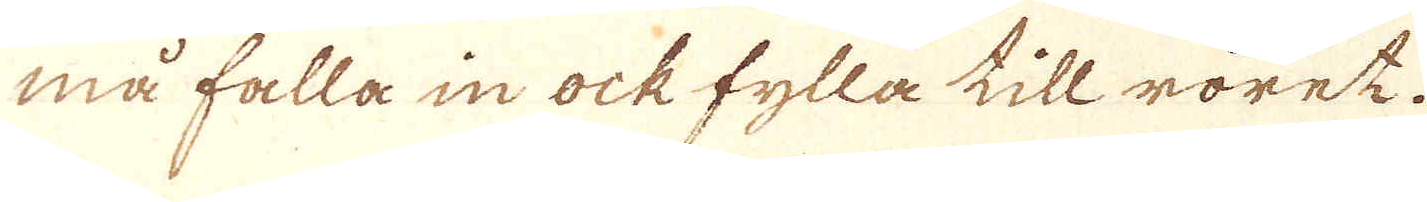må falla in ock fylla till röret.
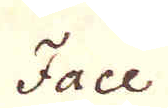Face
